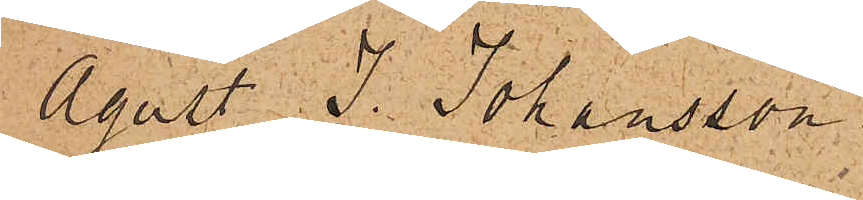Agust J. Johansson,
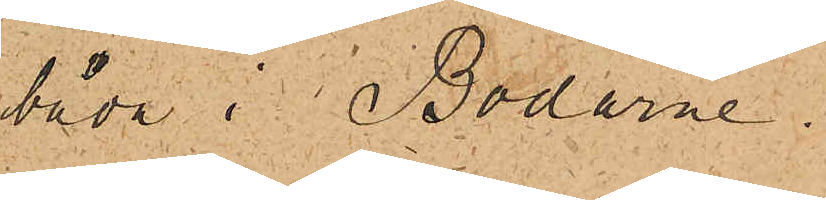båda i Bodarne.
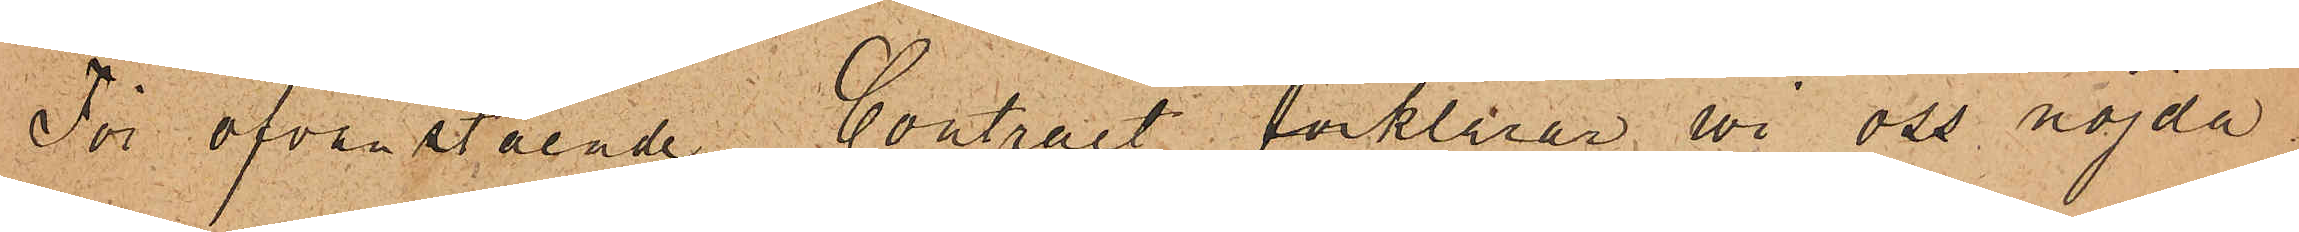För ofvanstående Contract förklarar vi oss nöjda.
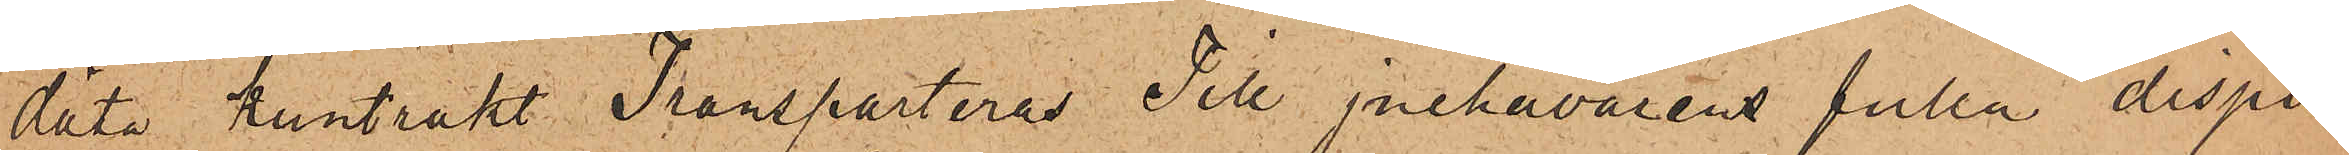däta kuntrakt Transporteras Till jnehavarens fulla dispu¬
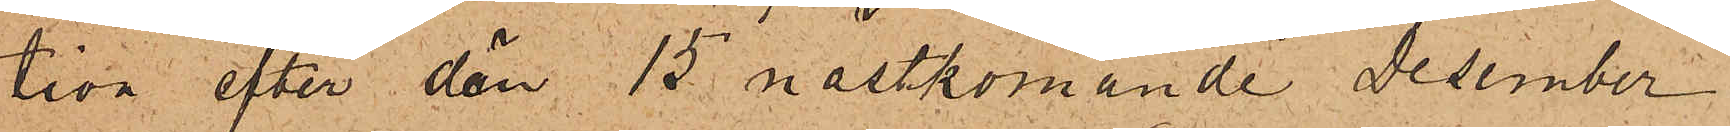tion efter dän 15 nästkomande Desember
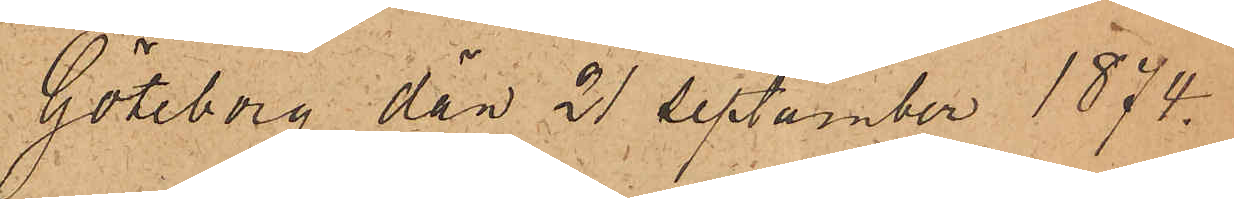Göteborg dän 21 Septämber 1874.
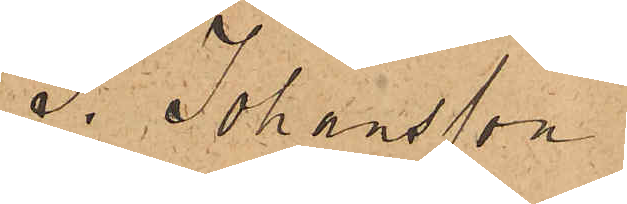J. Johansson
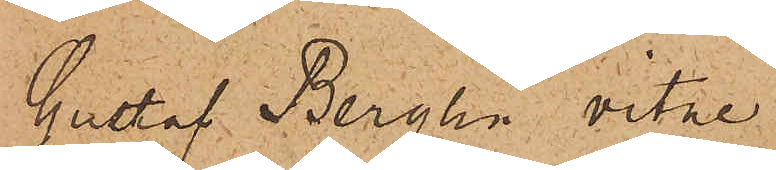Gustaf Berglin vitne
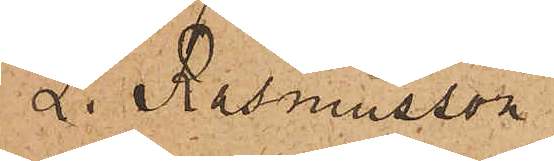L. Rasmusson
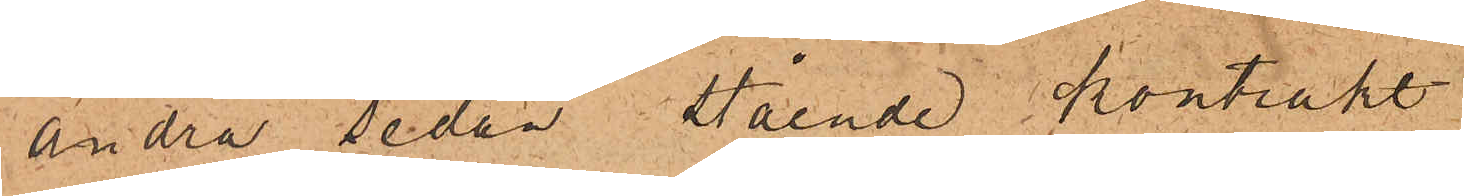Andra sedan Stående Kontrakt
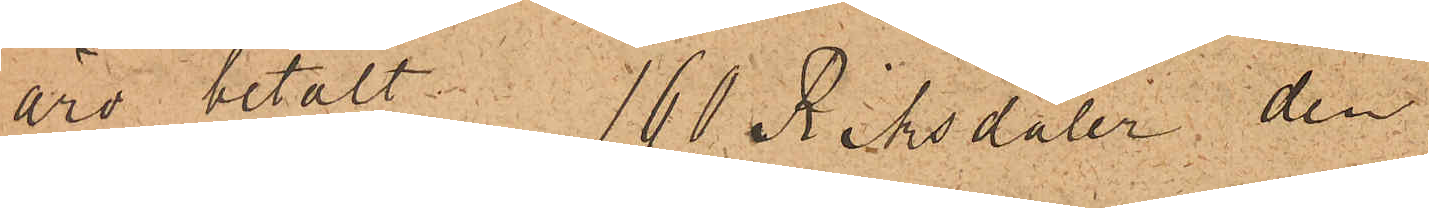äro betalt 160 Riksdaler, den
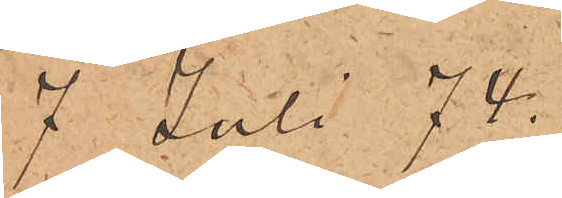7 Juli 74.
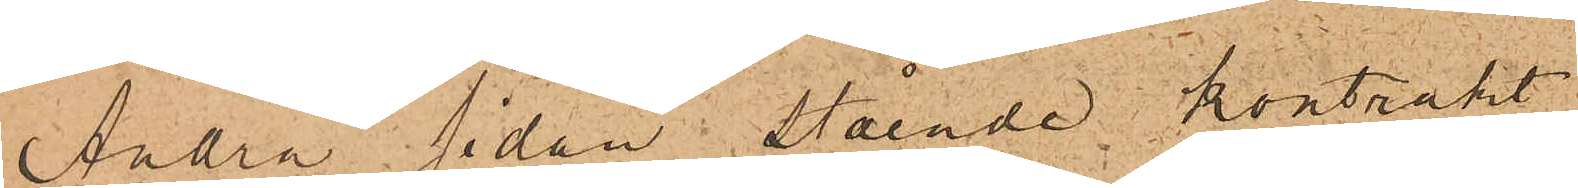Andra sidan Stående kontrakt
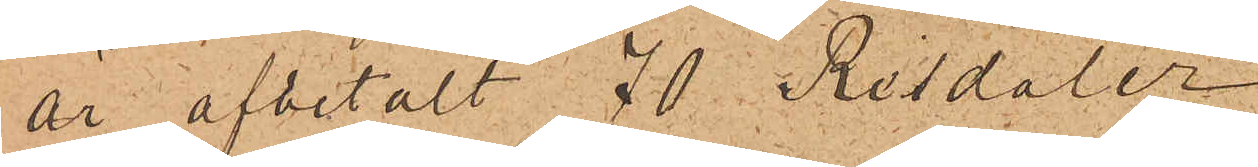är afbetalt 70 Resdaler
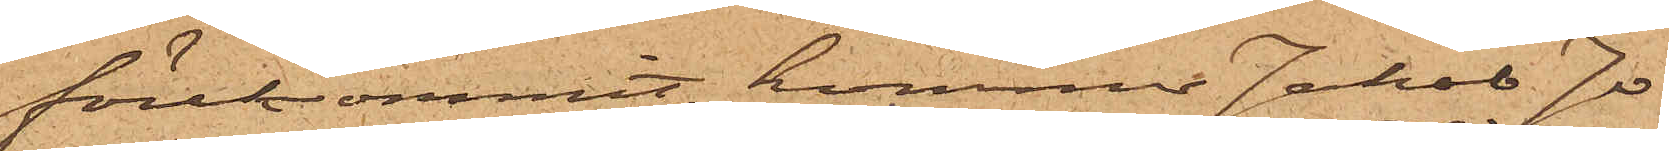förekommit, kommer Jakob Jo¬
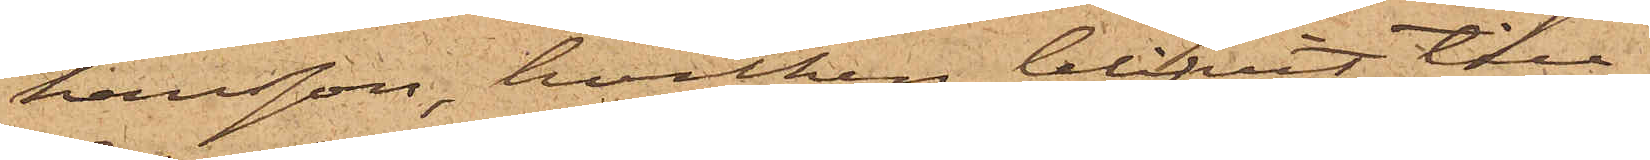hansson, hvilken blifvit till
